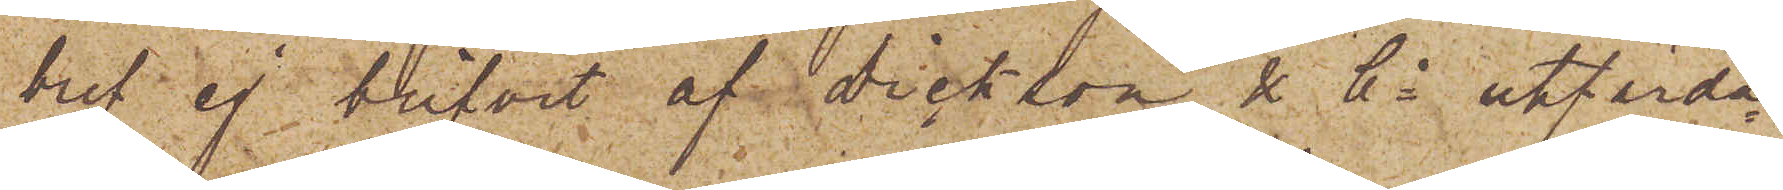bref ej blifvit af Dickson & Co utfärda¬
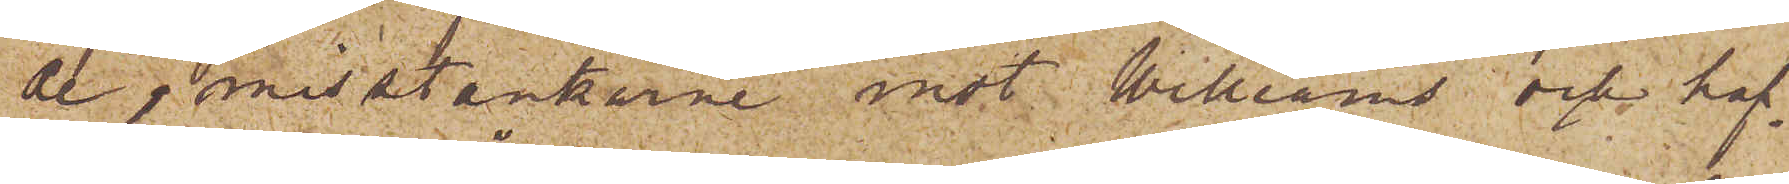de, misstänkarne mot Williams och haf¬
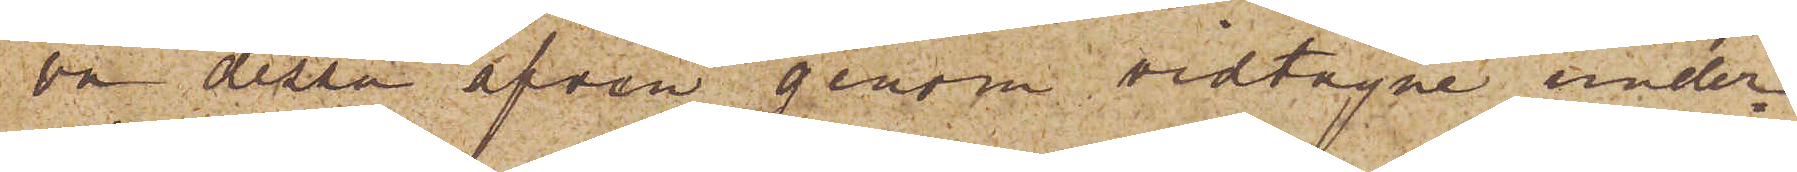va dessa äfven genom vidtagne under¬
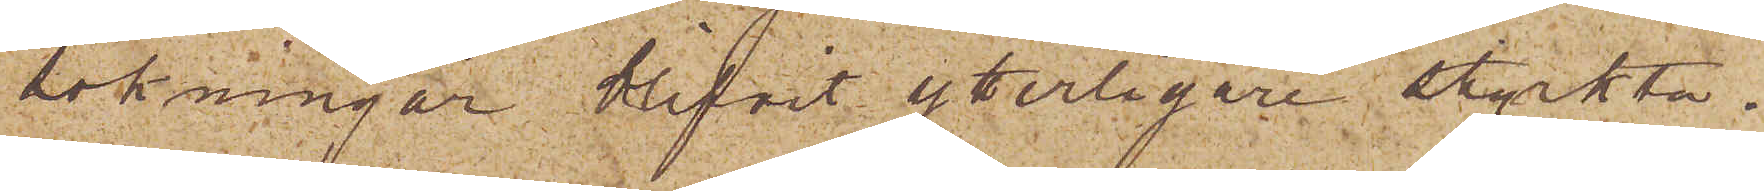sökningar blifvit ytterligare styrkta.
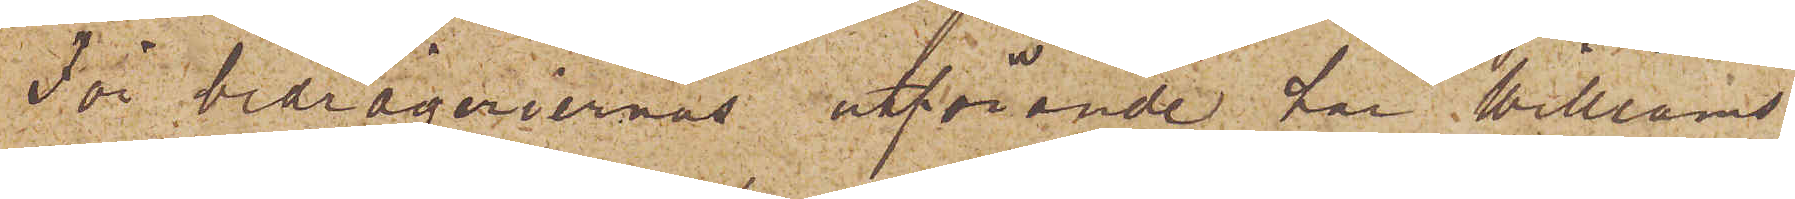För bedrägeriernas utförande har Williams
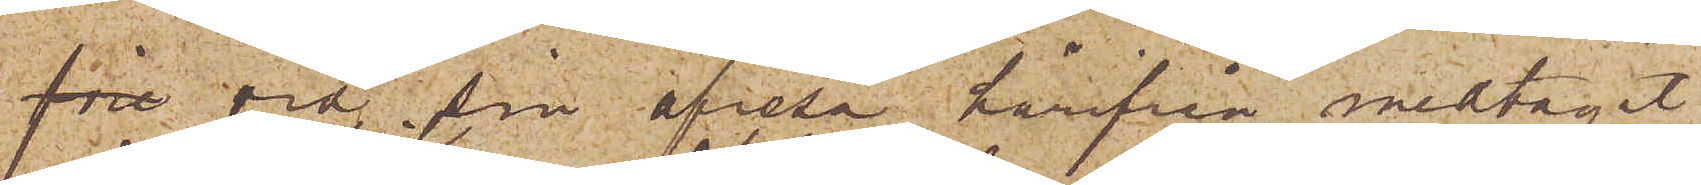före vid sin afresa härifrån medtagit
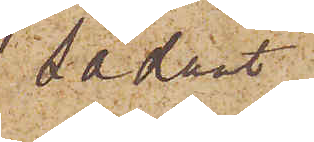sådant
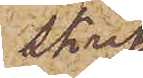skrif¬
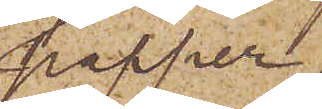papper
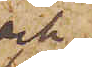och
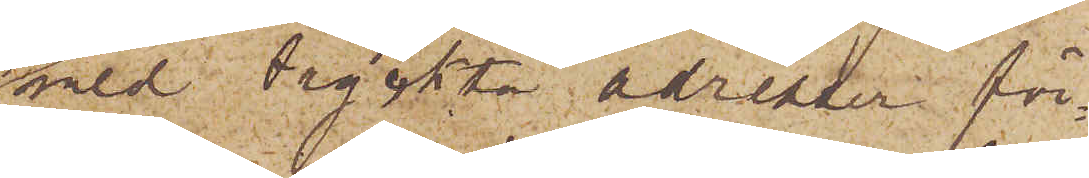med tryckta adresser för¬
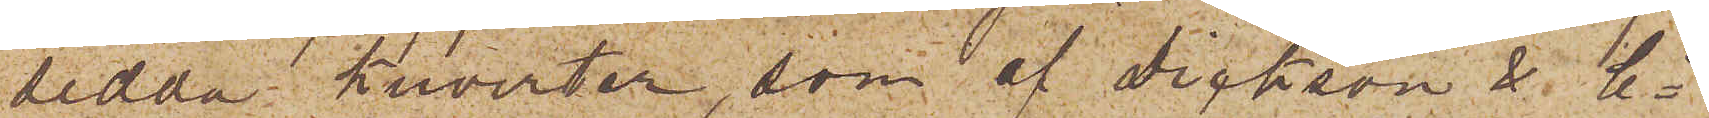sedda kuverter, som af Dickson & Co
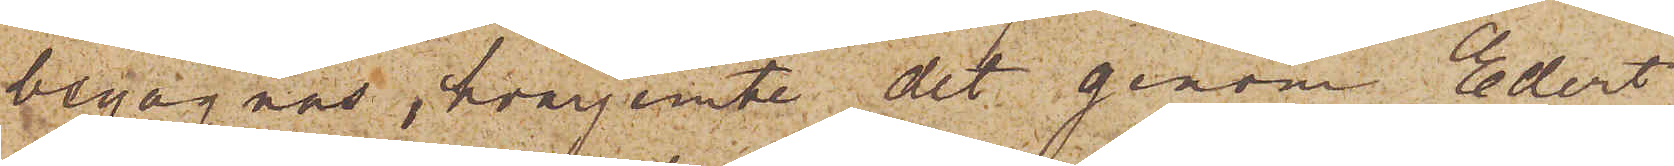begagnas, hvarjemte det genom Edert
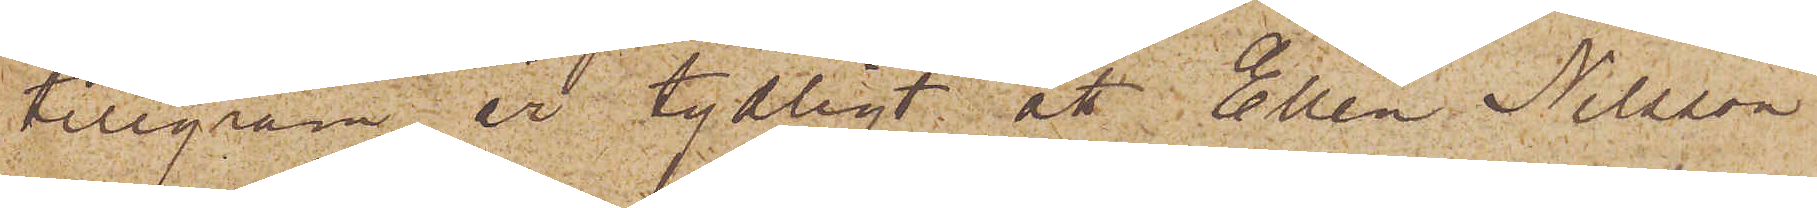telegram är tydligt att Ellen Nilsson
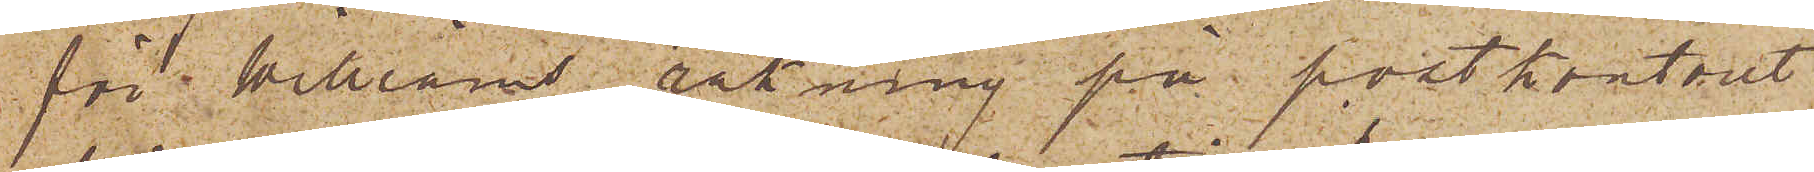för Williams räkning på postkontoret
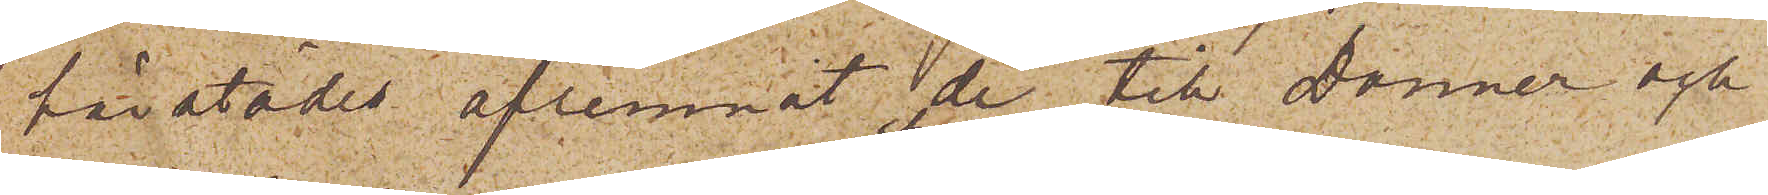härstädes aflemnat de till Donner och
